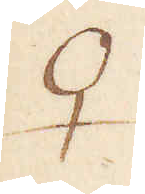♀
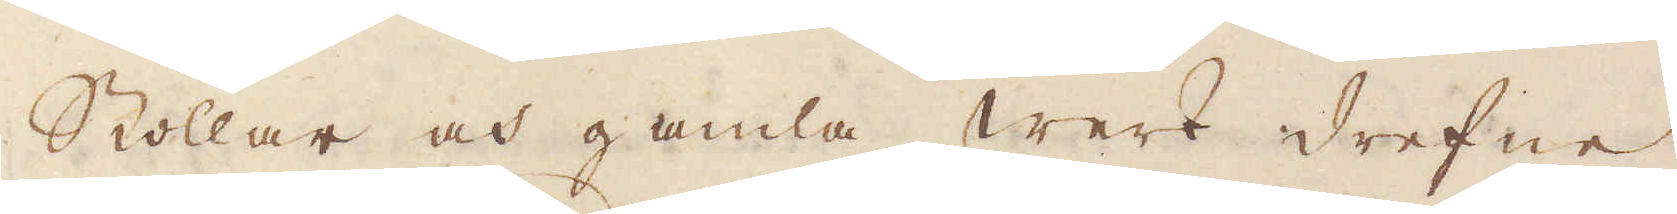Stollar och gamla werk drefne
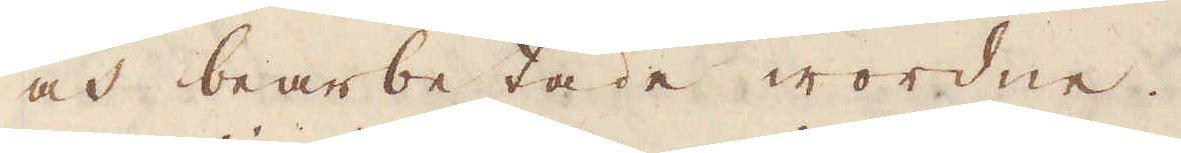och bearbetade wordne.
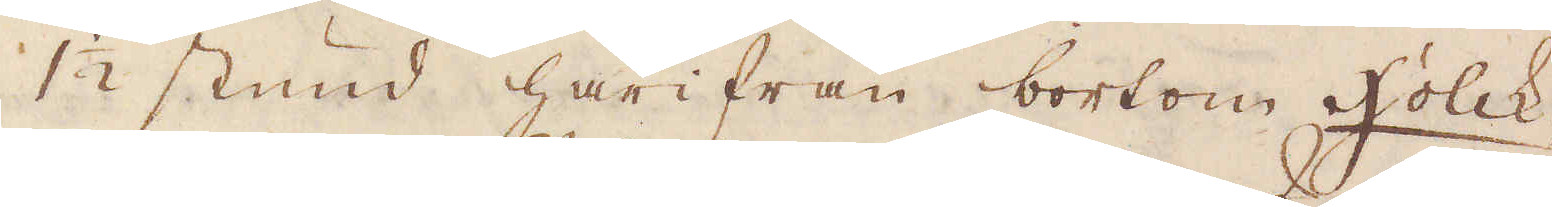1 1/2 stund härifrån bortom Holck-
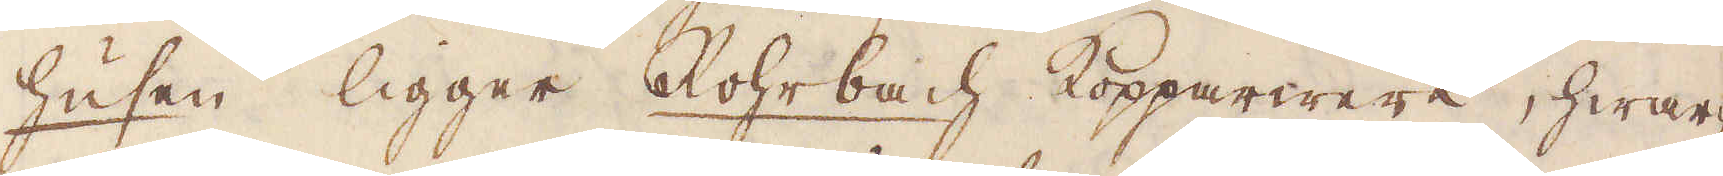husen ligger Rohrbach Kopparwerk, hwar-
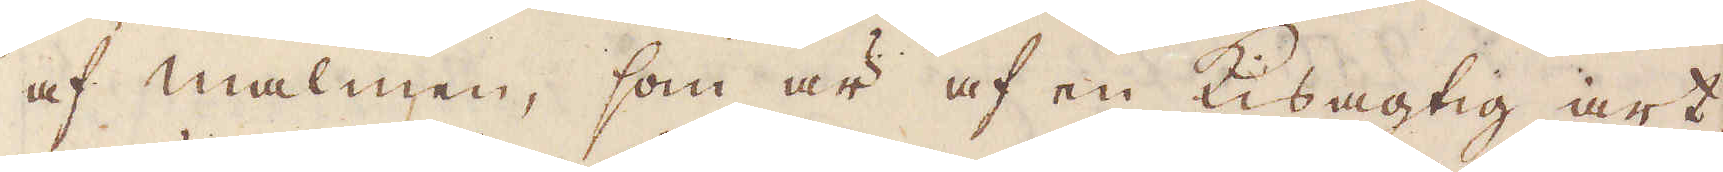af malmen, som är af en Kisagtig art,
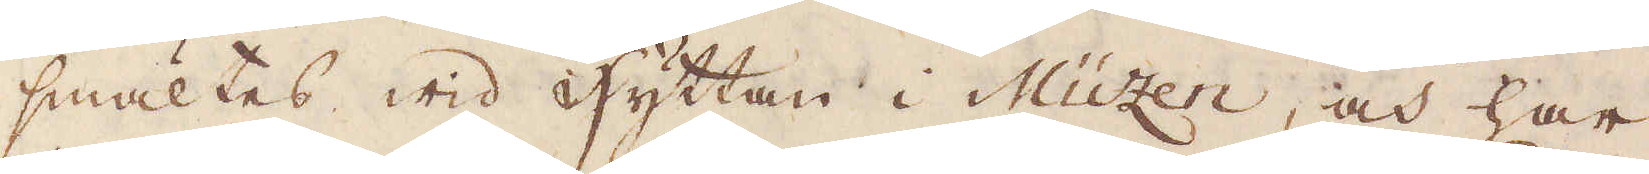smältes wid hyttan i Müzen, och har
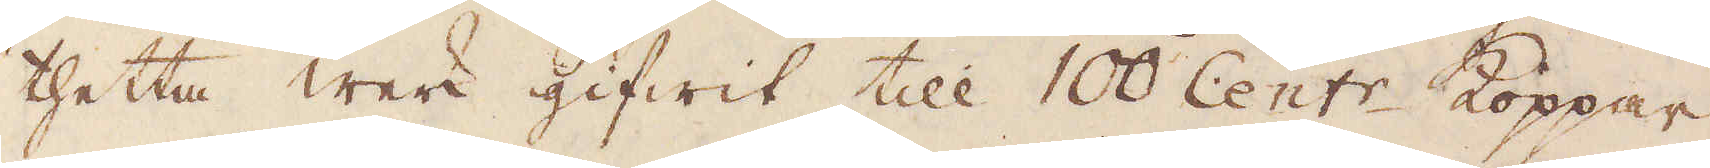thetta werk gifwit till 100 Cent:r Koppar
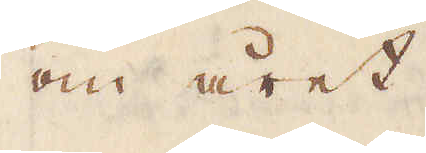om året.
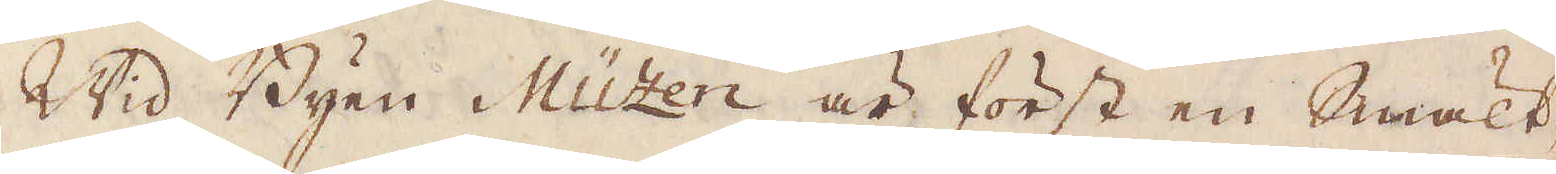Wid Byen Müzen är först en Smält-
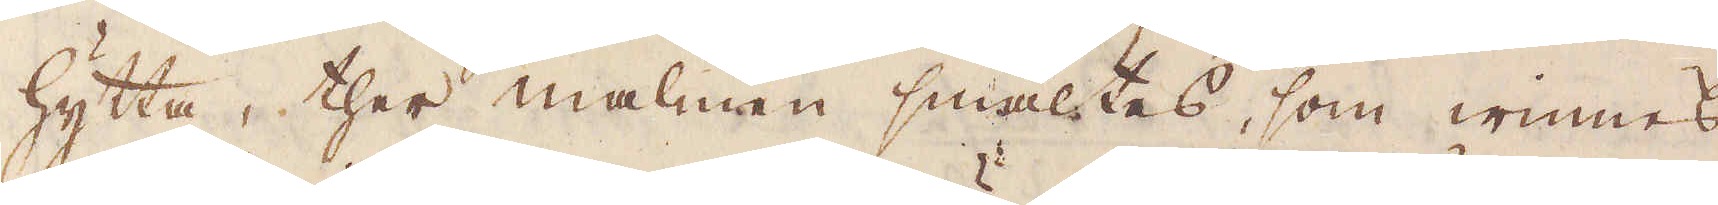hytta, ther malmen smältes, som winnes
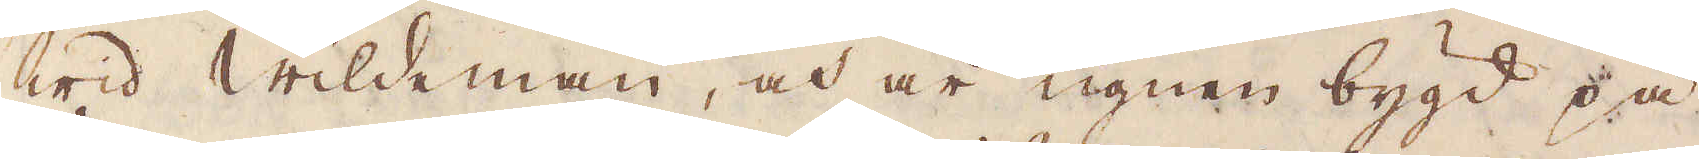wid Wildeman, och är ugnen bygd på
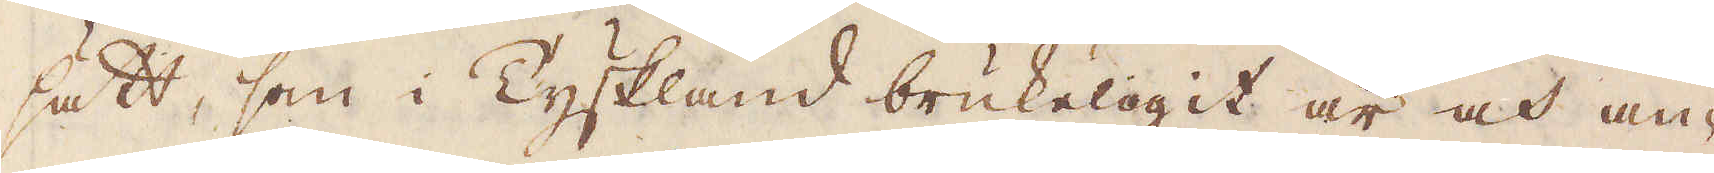sätt, som i Tyskland brukeligit är och an-
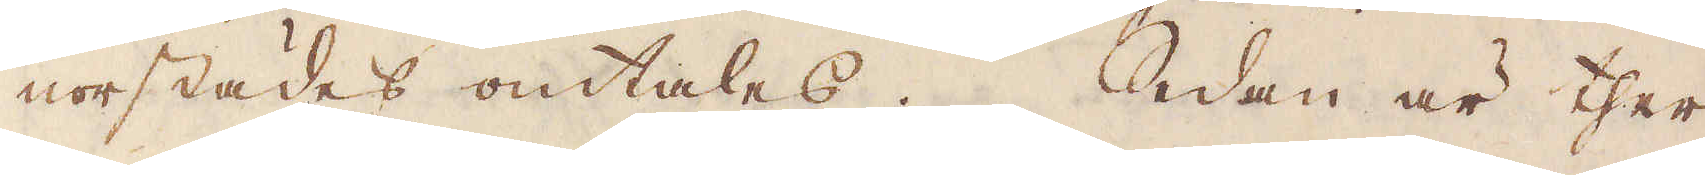norstädes omtales. Sedan är ther
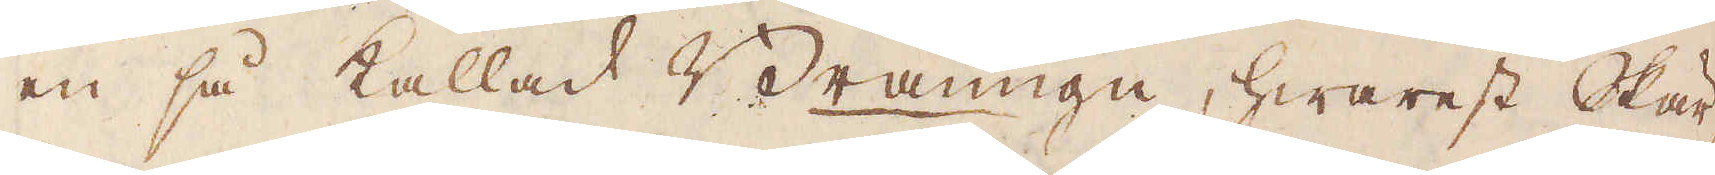en så kallad Bränugn, hwarest Skär-
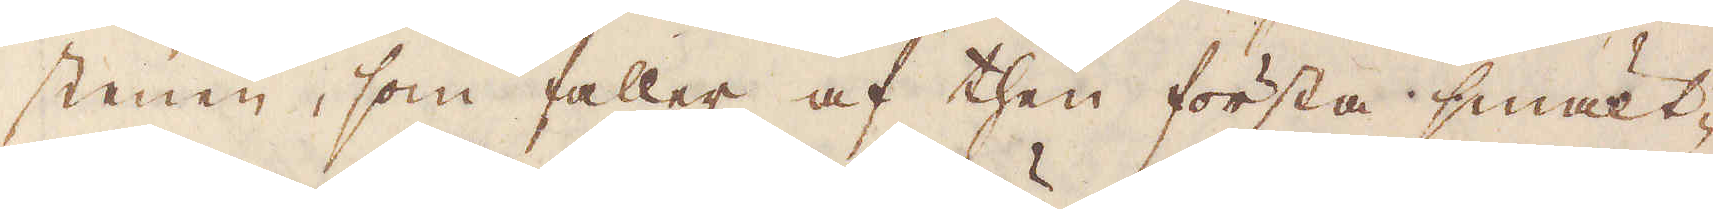stenen, som faller af then första smält-
